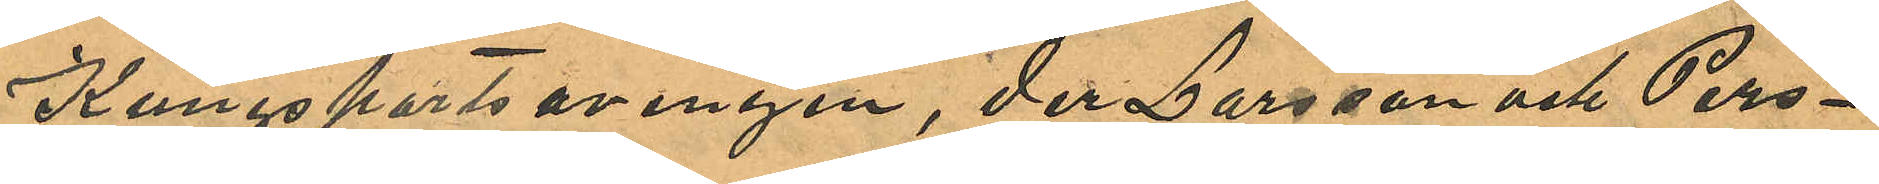Kungsportsavenyen, der Larsson och Pers¬
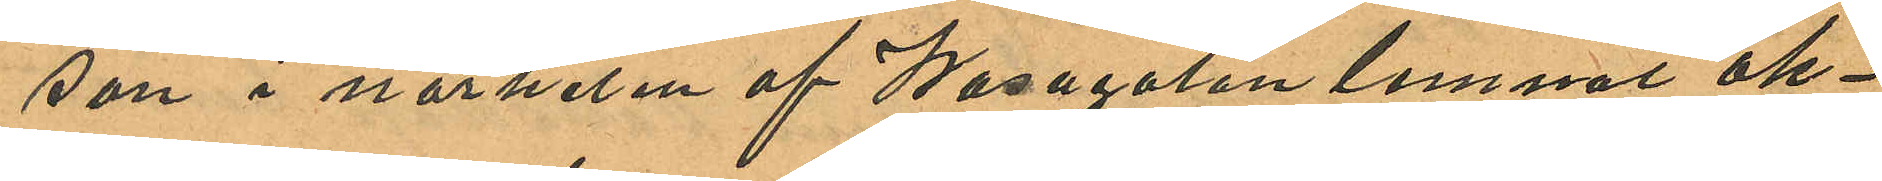son i närheten af Wasagatan lemnat åk¬
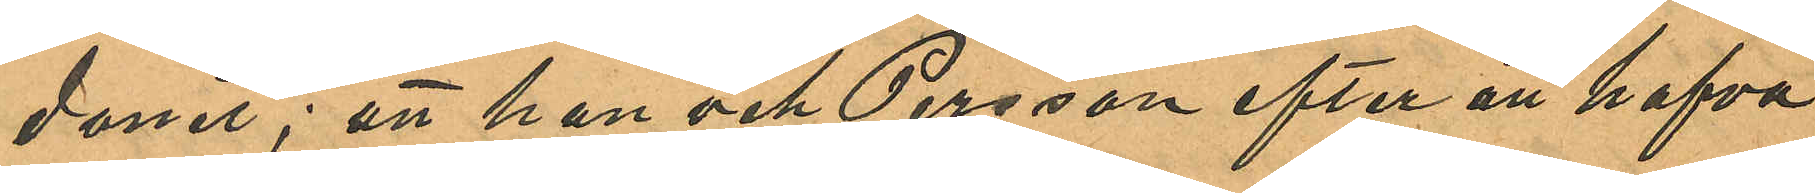donet; att han och Persson efter att hafva
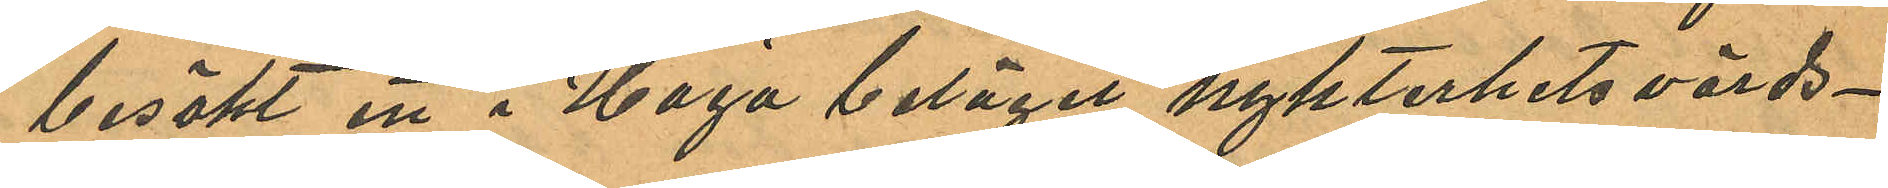besökt ett i Haga beläget nykterhetsvärds¬
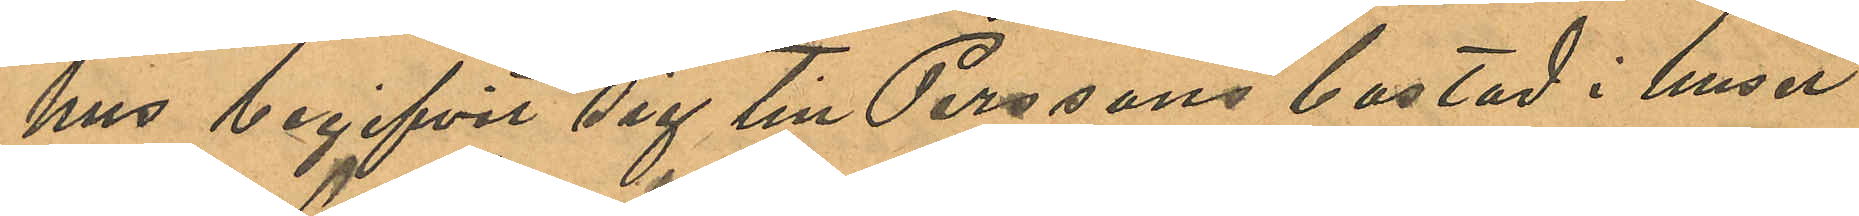hus begifvit sig till Perssons bostad i huset
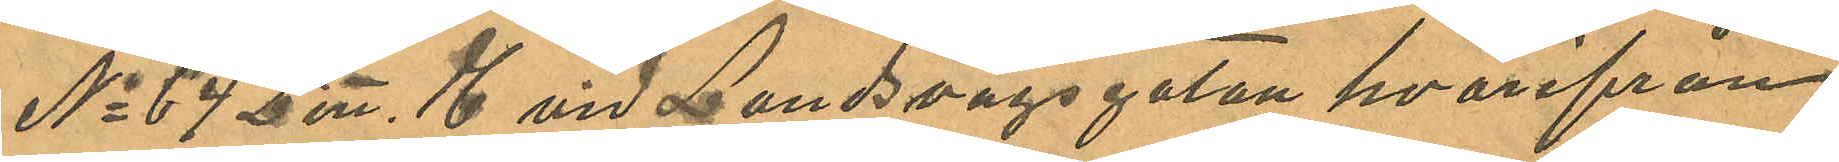No 64 Litt. H vid Landsvägsgatan hvarifrån
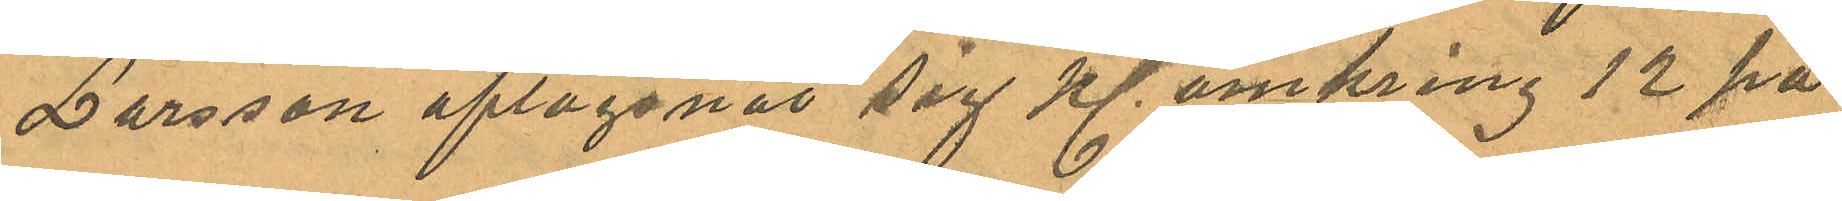Larsson aflägsnat sig Kl. omkring 12 på
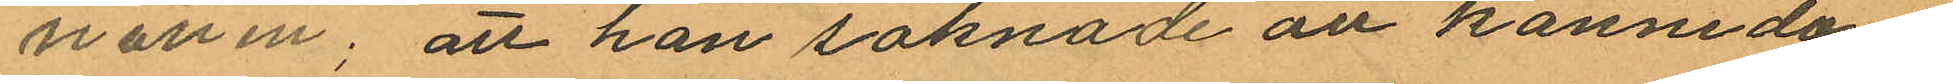natten; att han saknade all kännedom
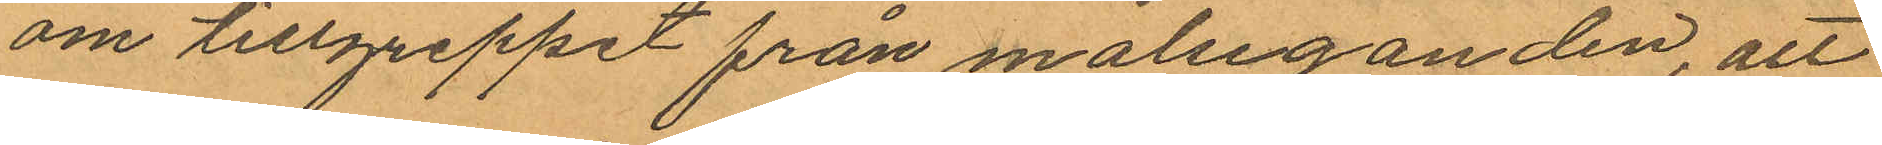om tillgreppet från målseganden, att
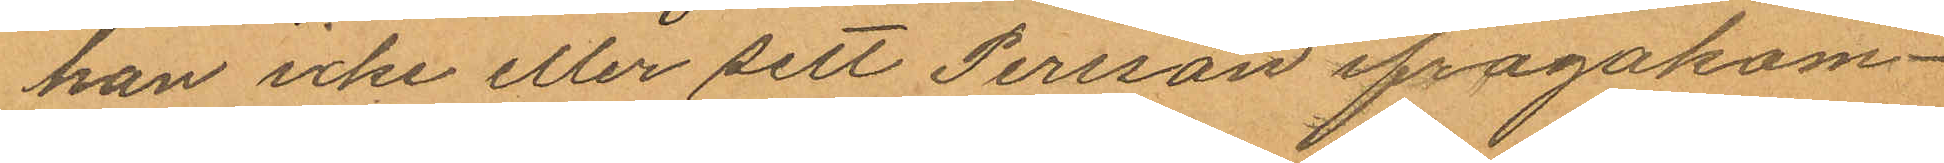han icke eller sett Persson ifrågakom¬
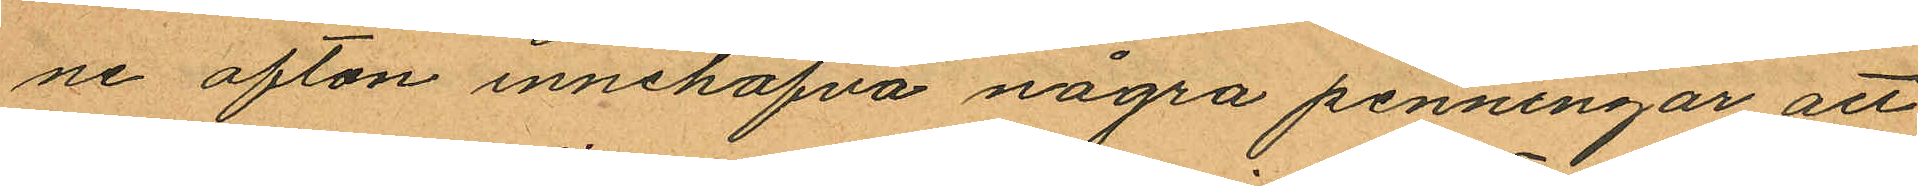ne afton innehafva några penningar att
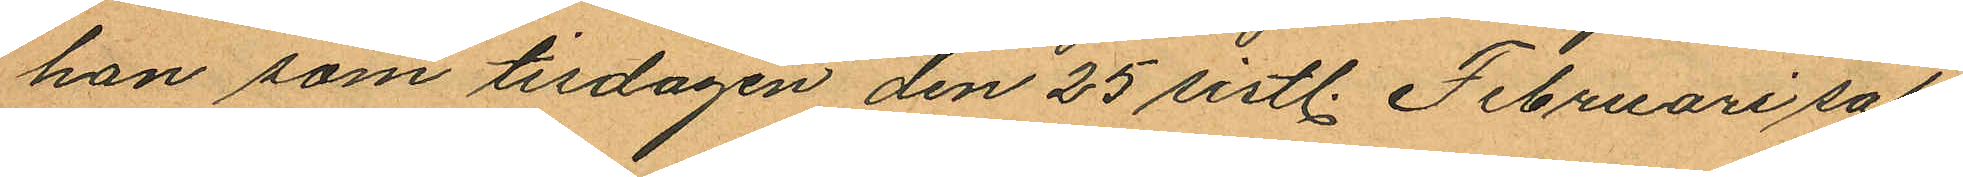han som tisdagen den 25 sistl. Februari sak¬
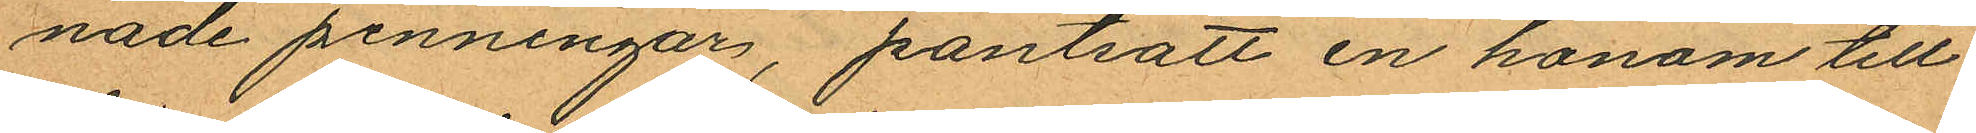nade penningar, pantsatt en honom till¬
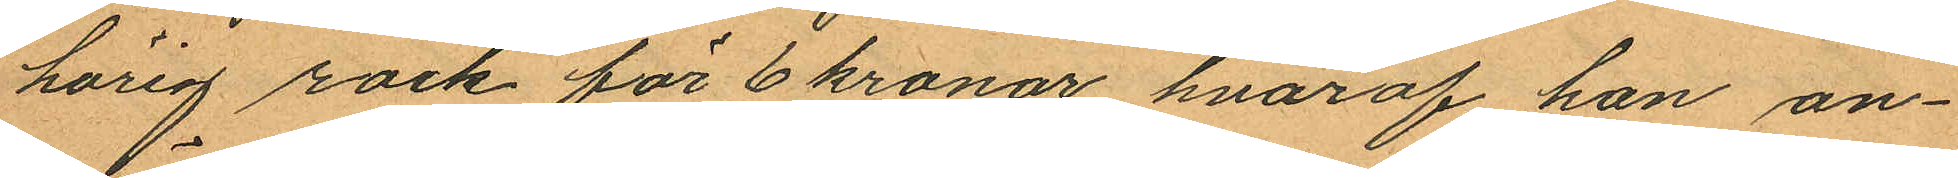hörig rock för 6 kronor hvaraf han an¬
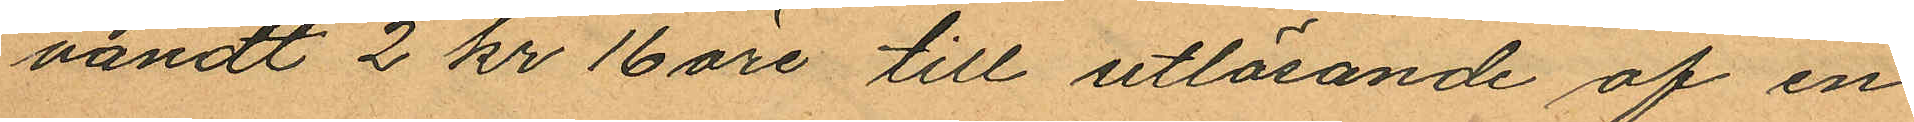vändt 2 kr 16 öre till utlösande af en
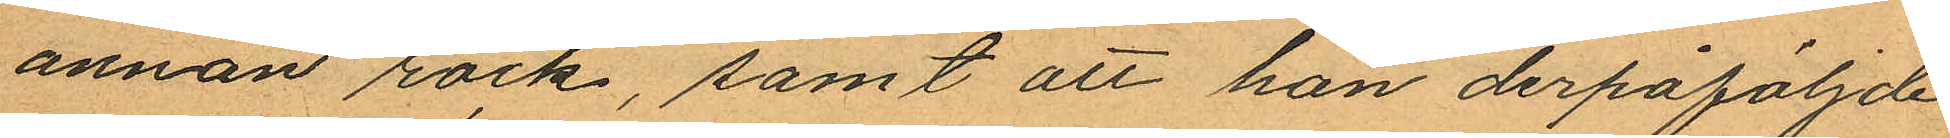annan rock, samt att han derpåföljde
